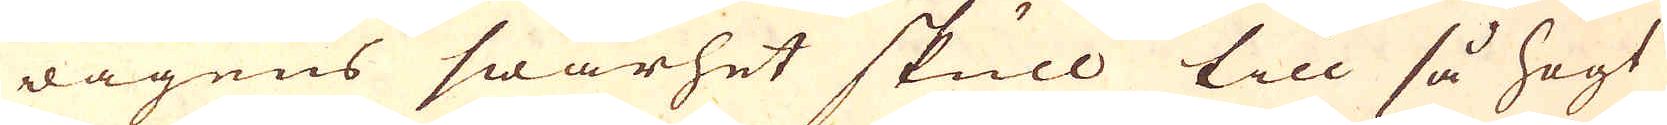wägens swårhet skull till så högt
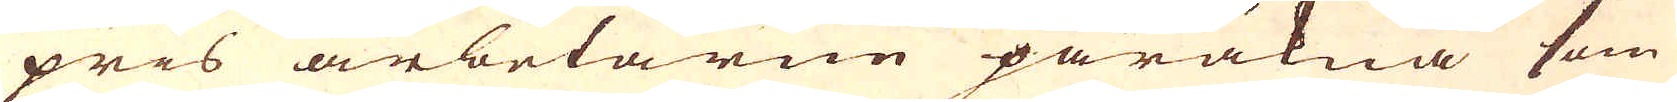pris arbetarne påräkna som
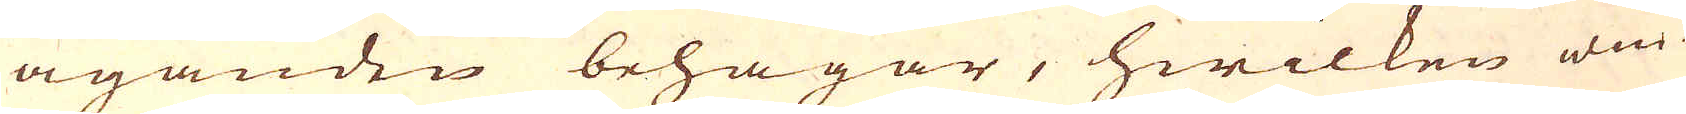äganden behagar, hwilken win-
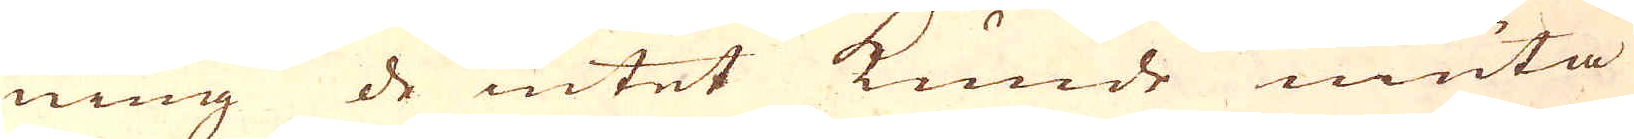ning de intet kunde niuta
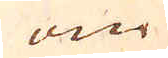om
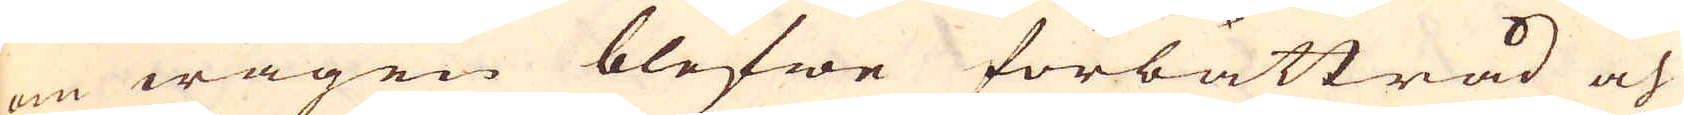om wägen blefwe forbättrad och
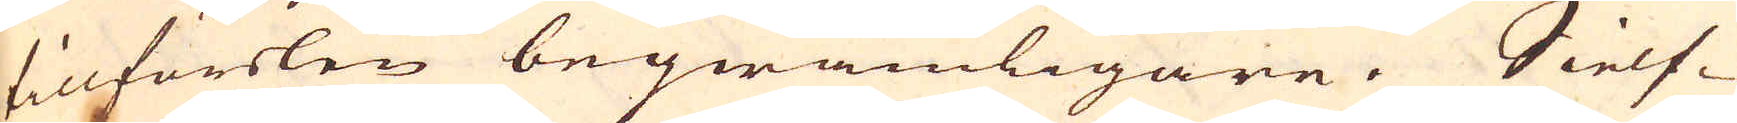tillförslen beqwämligare. Sielf-
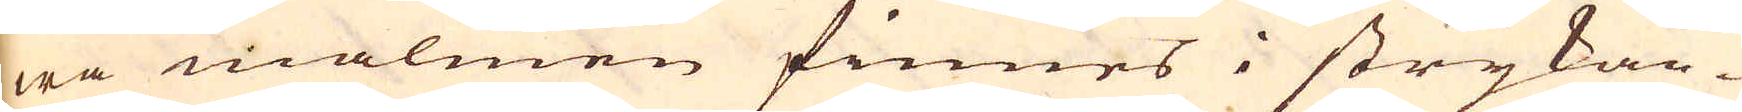wa malmen finnes i strykan-
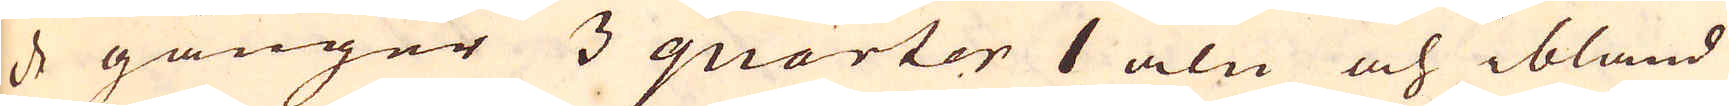de gånger 3 quarter 1 aln och ibland
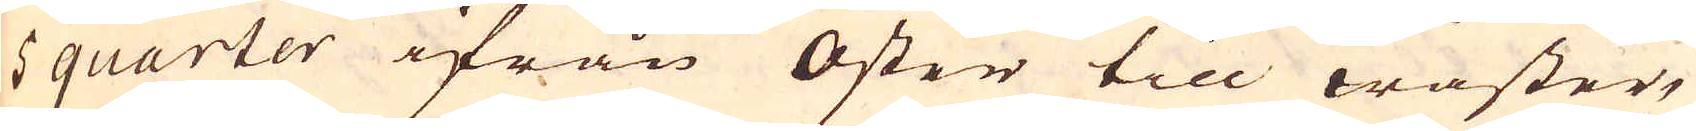5 quarter ifrån Öster till wäster,
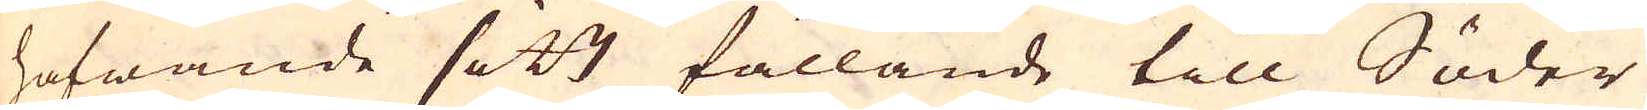hafwande sitt fallande till Söder
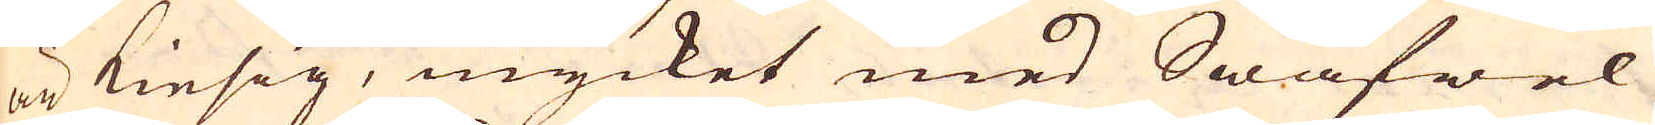är Kiesig, mycket med Swafwel
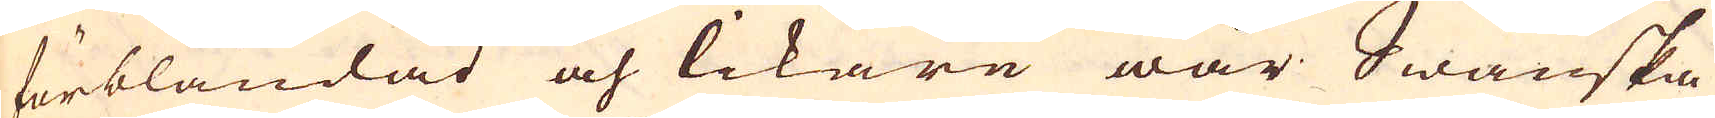förblandad och likare wår Swänska
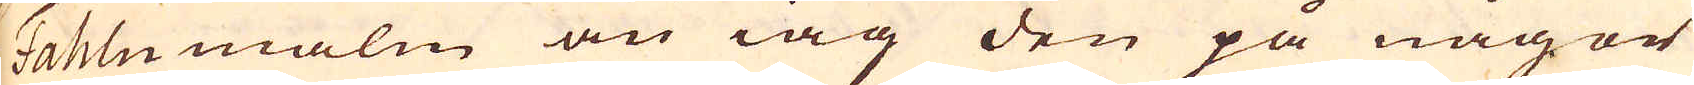Fahlumalm än iag den på någor
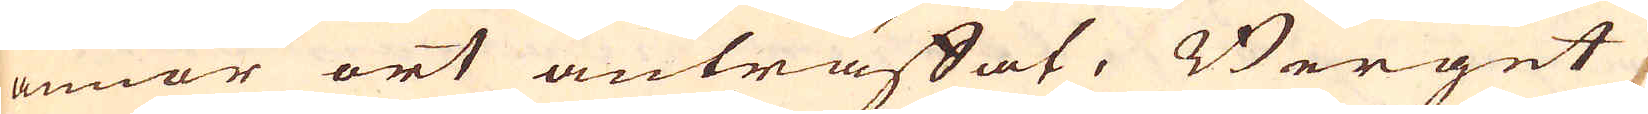annor ort anträffat, Berget
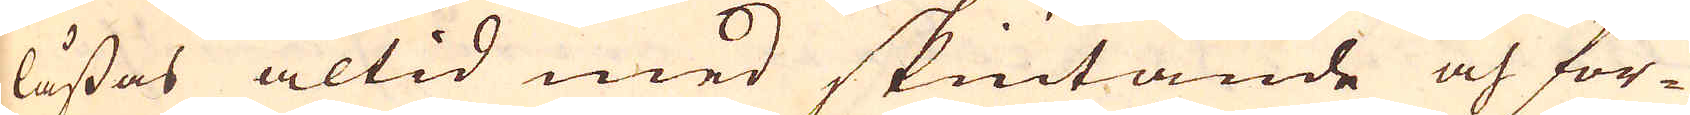låssas altid med skiutande och for-
